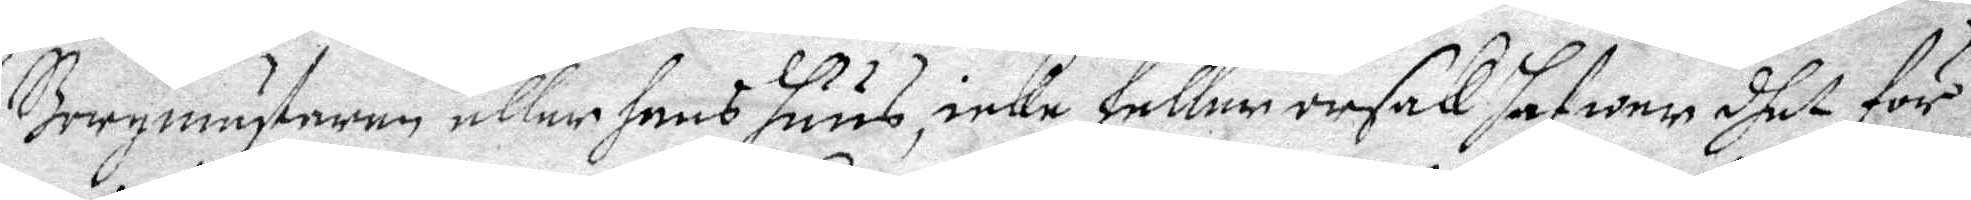Borgmästaren eller hans huus, icke heller orsak hafwer dhet för
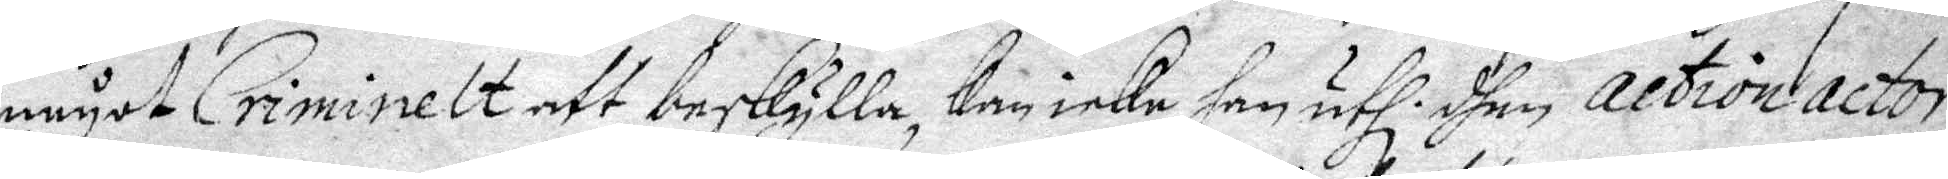nåot Criminelt att beskylla, kan icke han uth. dhen action actor
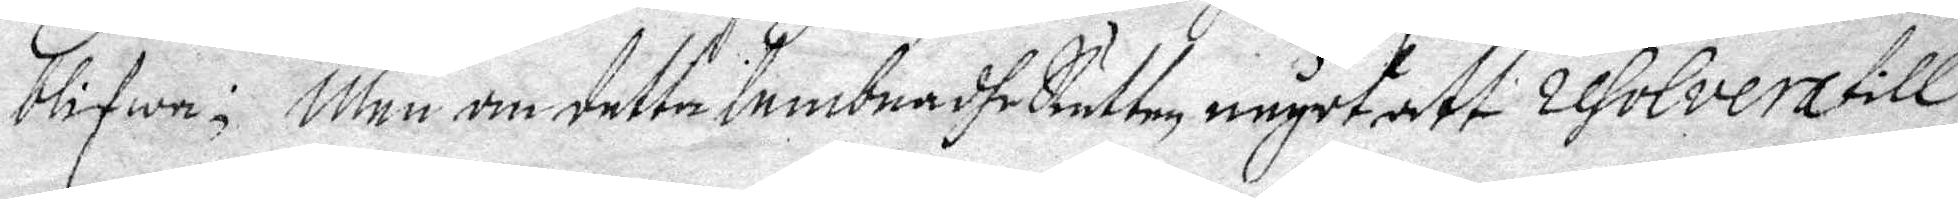blifwa; Men om detta lembna dhe Rätten något att resolvera till
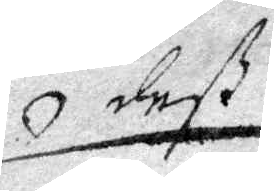deß
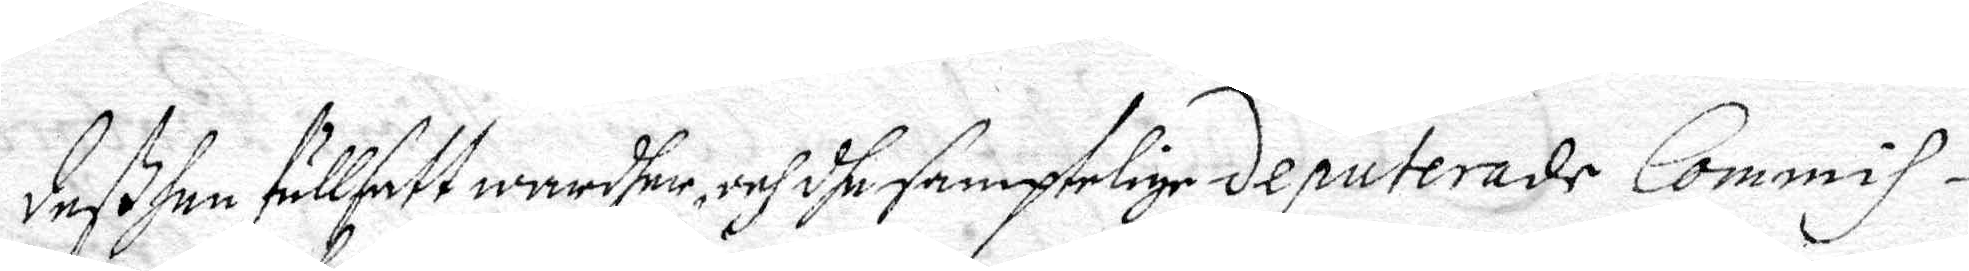deßhen fullsatt wardher, och dhe samptelige deputerade Commis¬
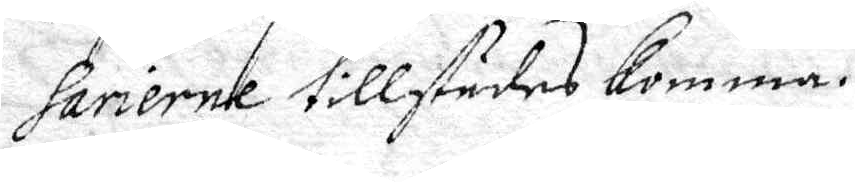sarierne tillstädes komma.
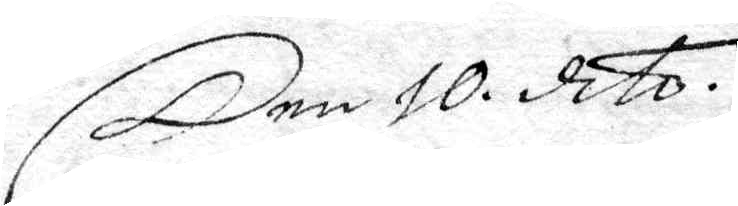Den 10: dito.
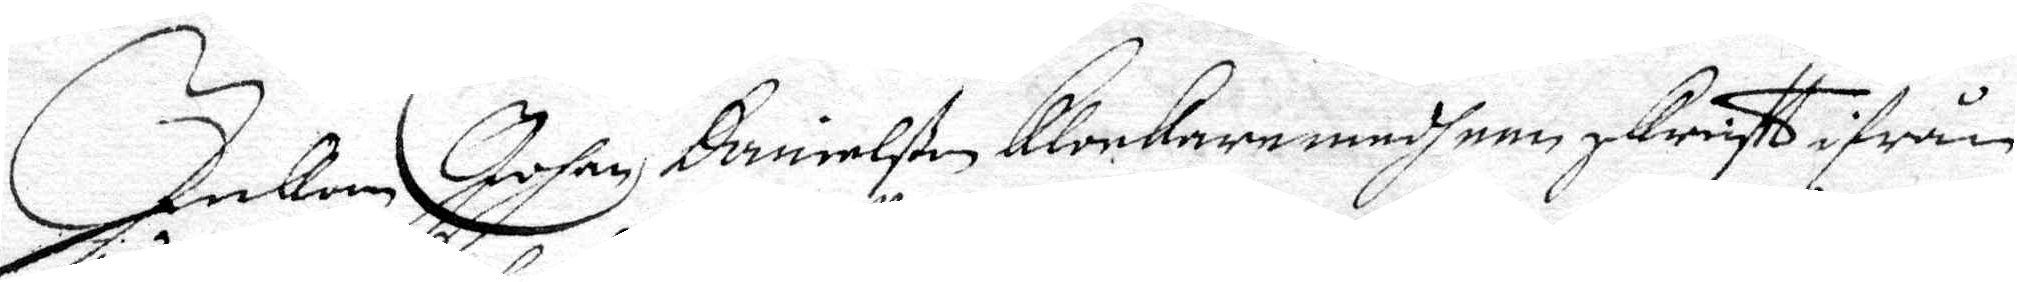Inkom Johan Danielßon Klockere medh een sKrifft ifrån
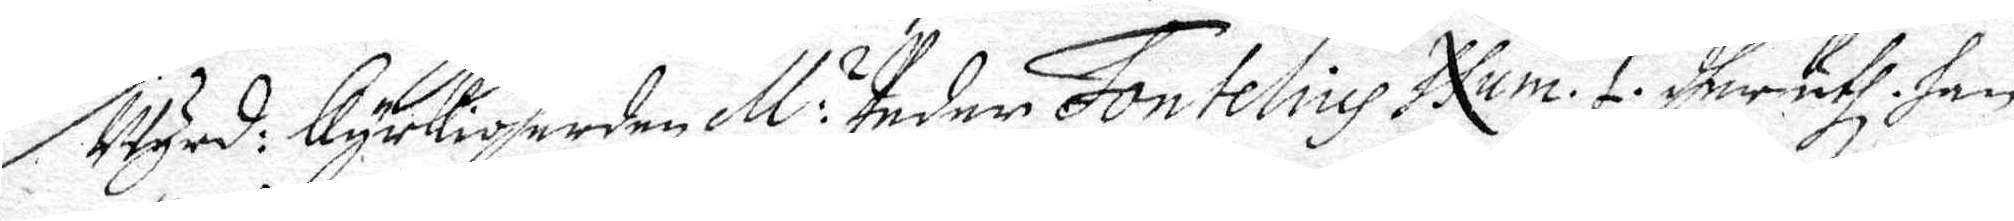Wyrd: Kyrckioherden M: Peder Fontelius Num. 1. dherduth han
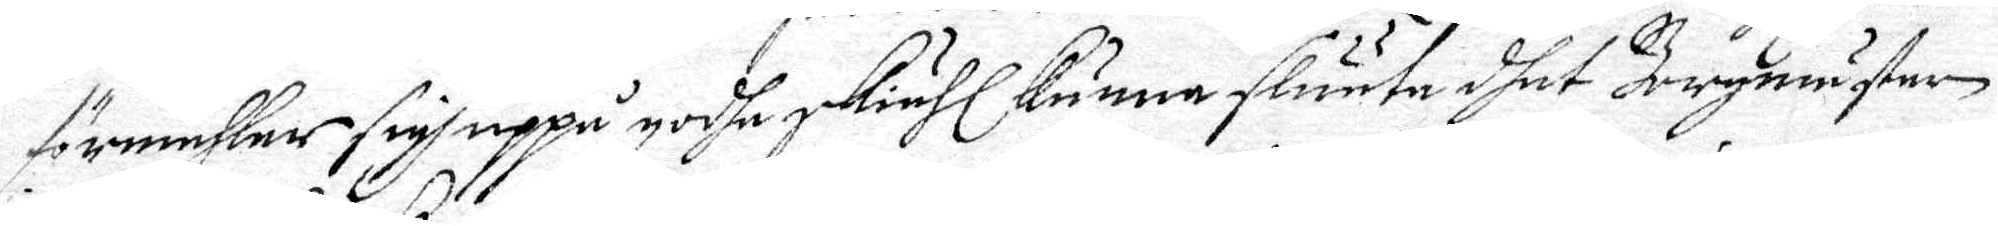förmähler sigh uppå godhe skiähl kunna sluuta dhet Bergmäster
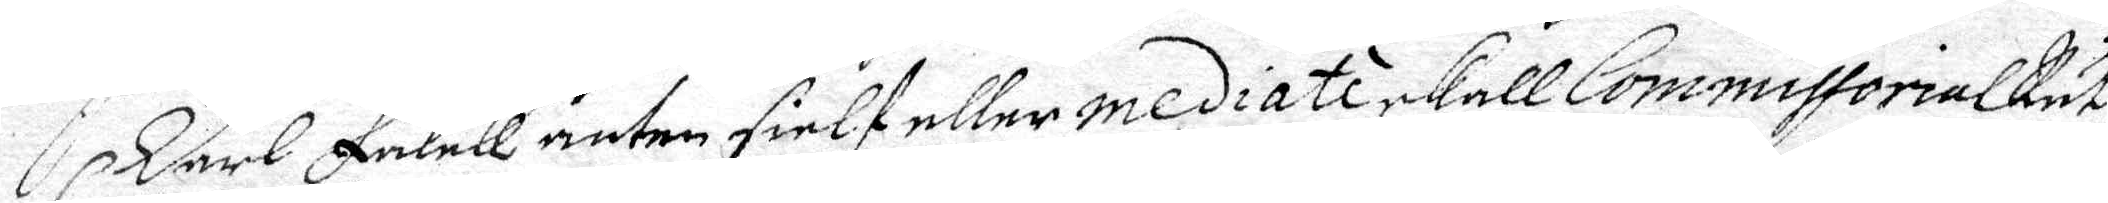Carl Falck anten sielf eller mediati skall CommissorialRät-
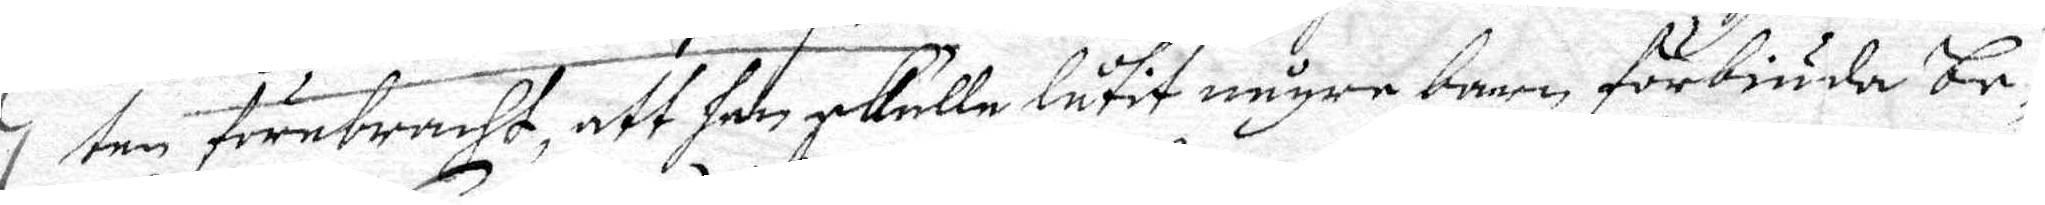ten förebracht, att han skulle låtit någre barn, förbiuda be¬
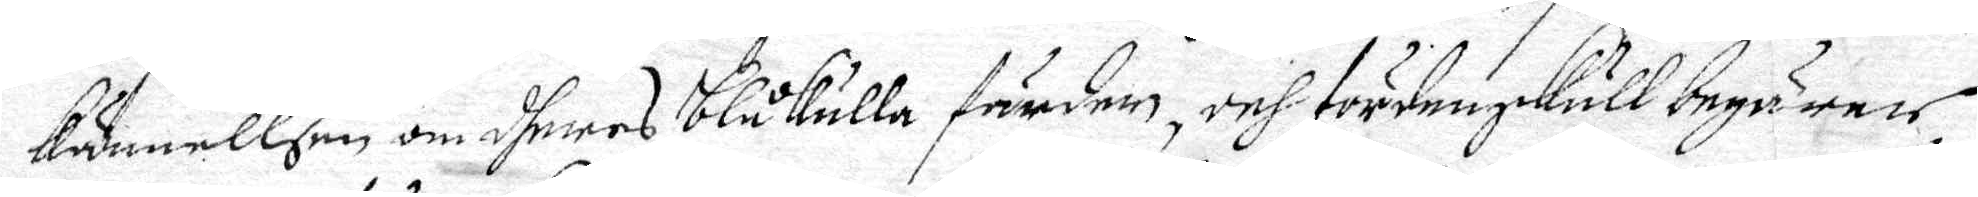kännellsen om dheres blåkulla färder, och fördennskull begärer,
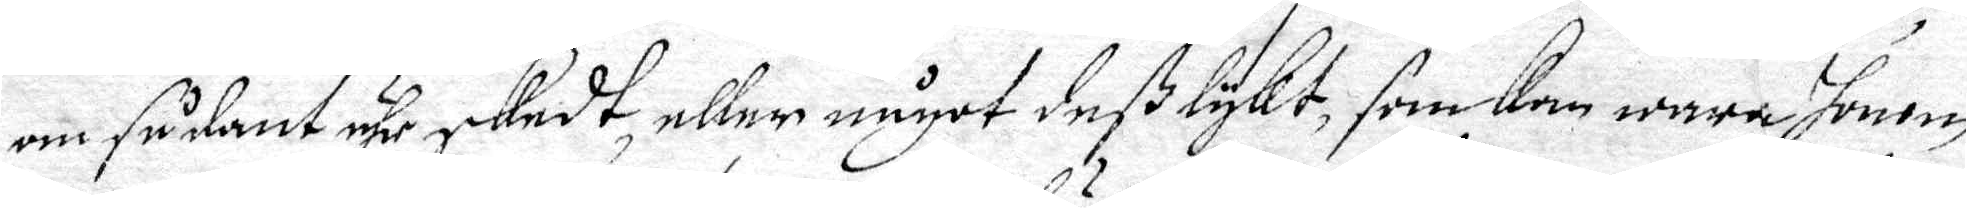om sådant ähr skedt, eller något deß lykt, som kan wara honom
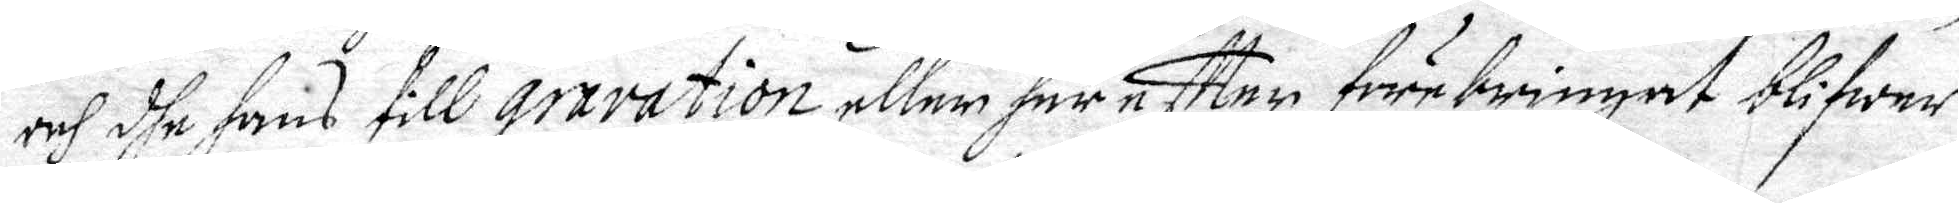och dhe hans till Gravation, eller här eftter förebringat blifwer,
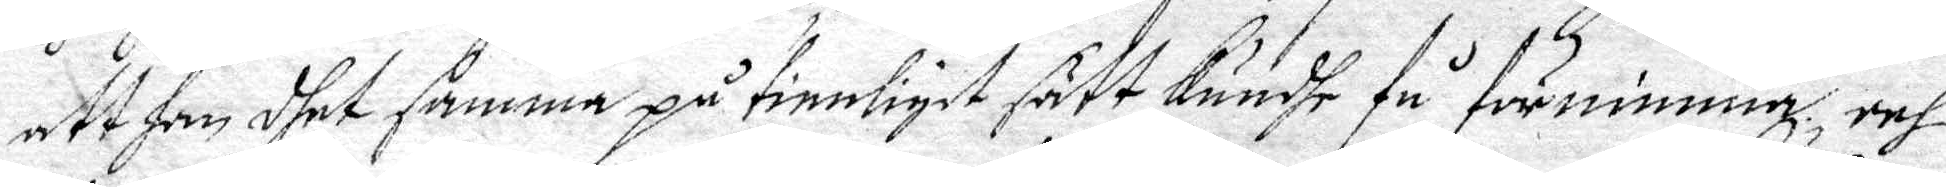att han dhet samma på tienligit sätt Kundhe få förnimma, och
